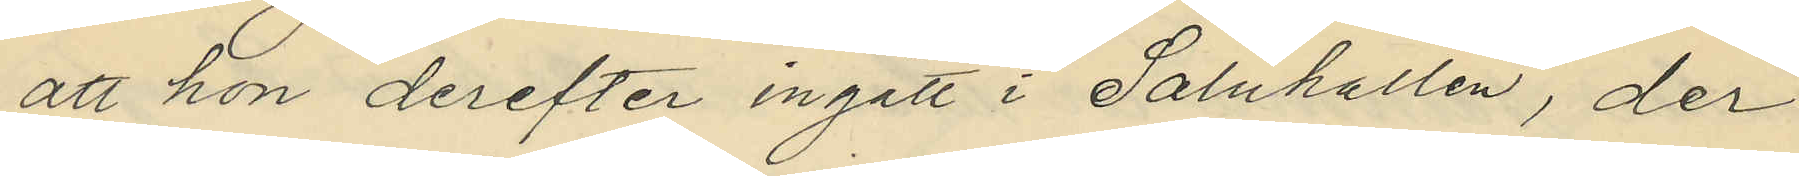att hon derefter ingått i Saluhallen, der
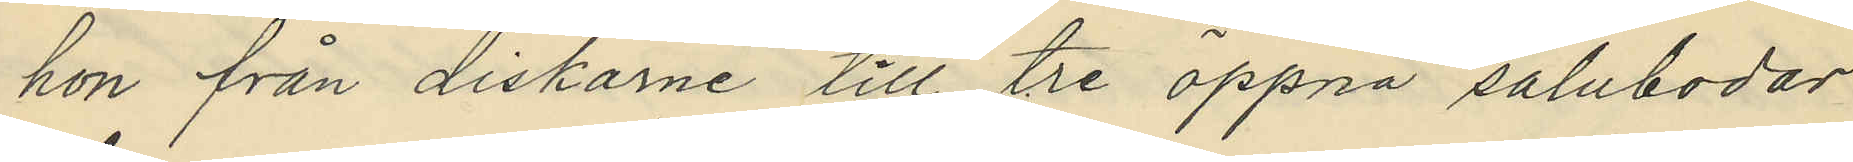hon från diskarne till tre öppna salubodar
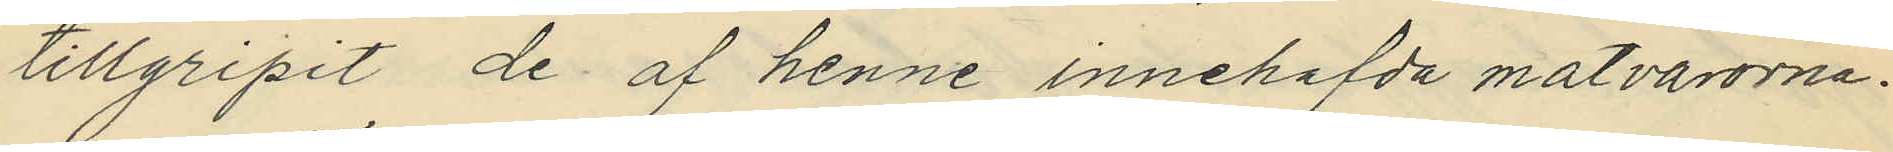tillgripit de af henne innehafda matvarorna.
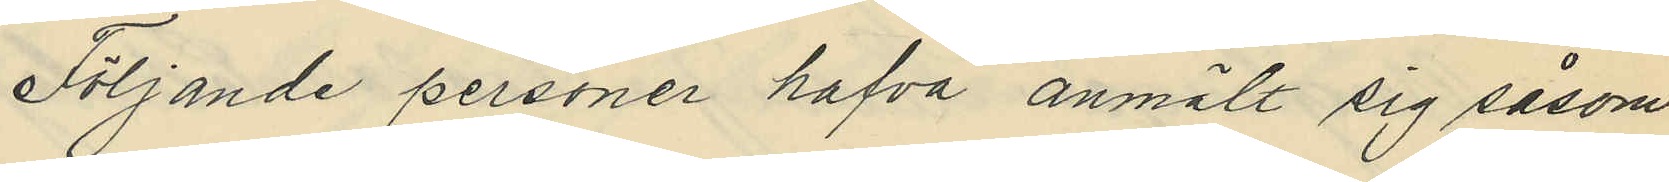Följande personer hafva anmält sig såsom
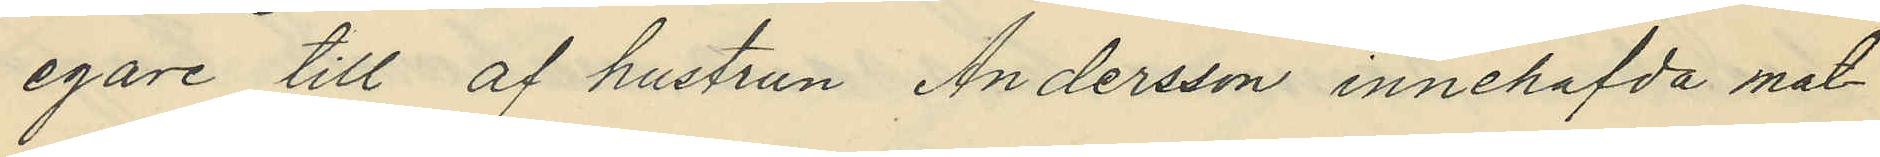egare till af hustrun Andersson innehafda mat¬
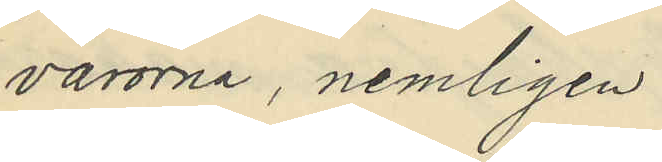varorna, nemligen
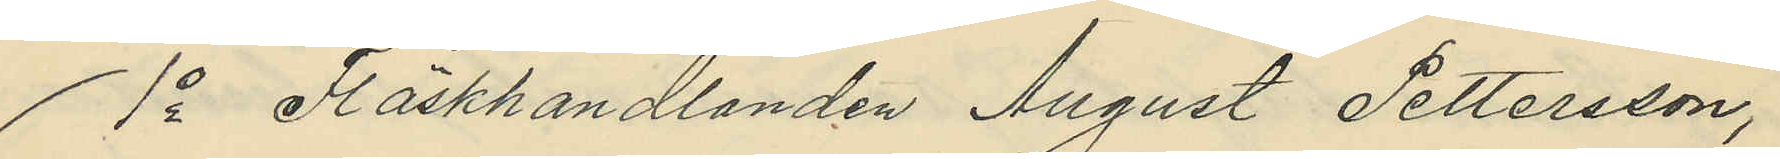1o Fläskhandlanden August Pettersson,
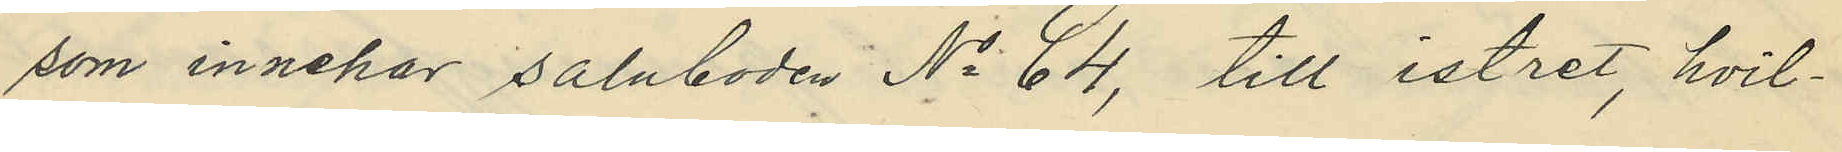som innehar saluboden No 64, till istret, hvil¬
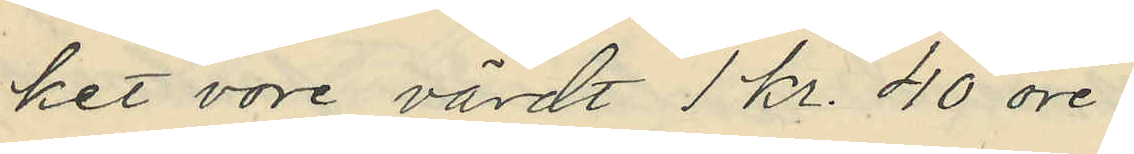ket vore värdt 1 kr. 40 öre.
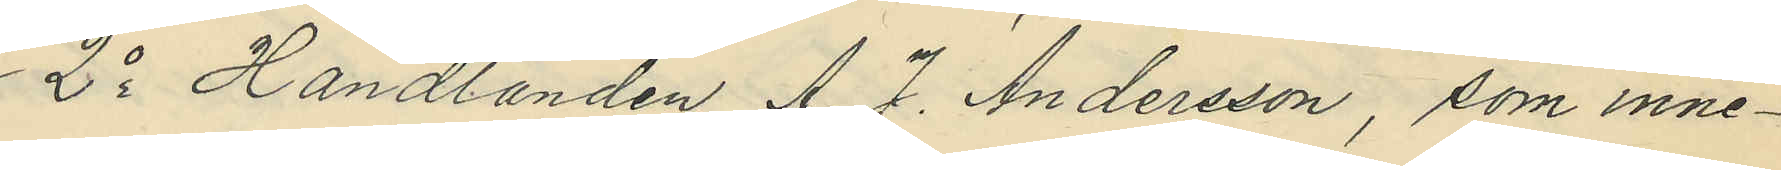2o Handlanden A. J. Andersson, som inne¬
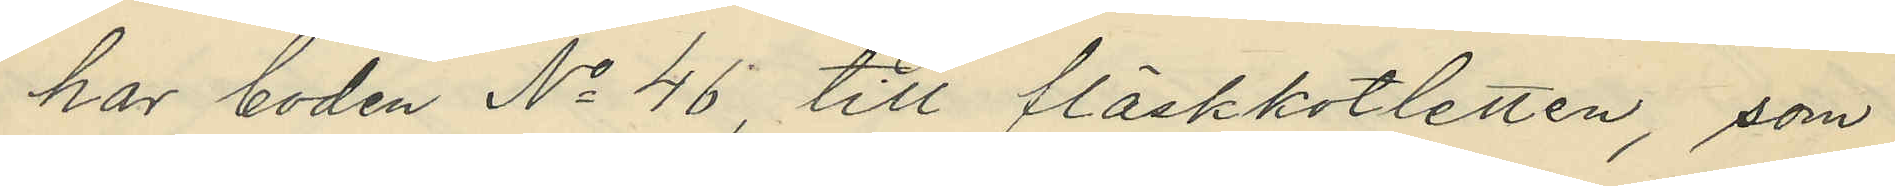har boden No 46, till fläskkotletten, som
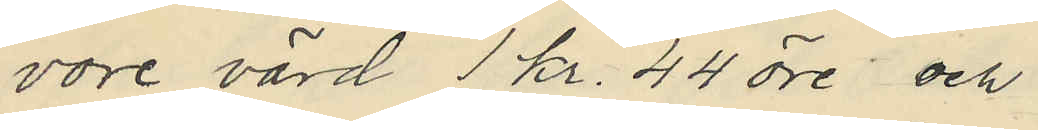vore värd 1 kr. 44 öre och
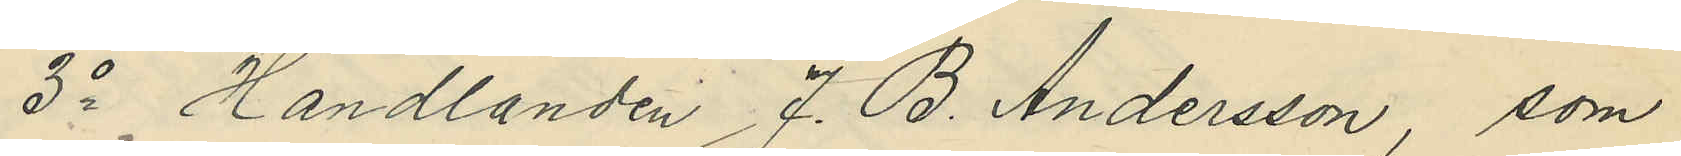3o Handlanden J. B. Andersson, som
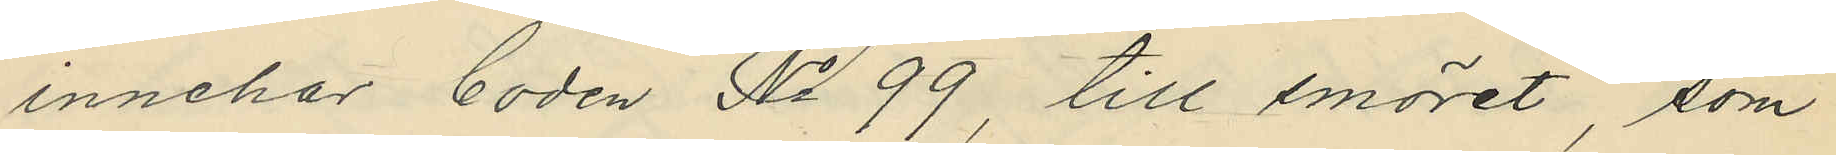innehar boden No 99, till smöret, som
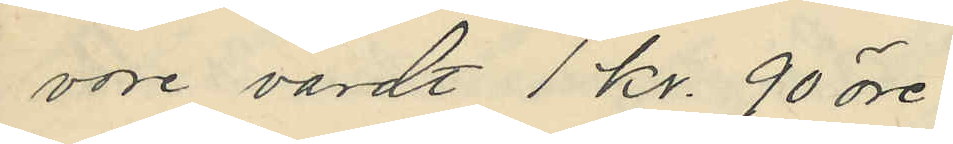vore värdt 1 kr. 90 öre.
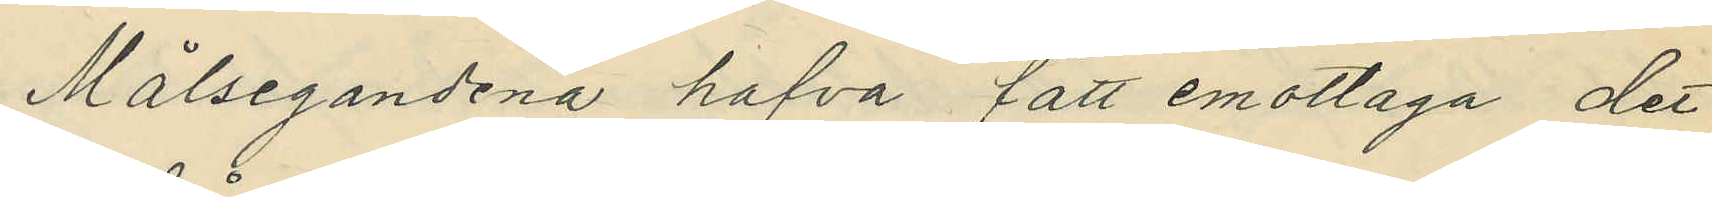Målsegandena hafva fått emottaga det
